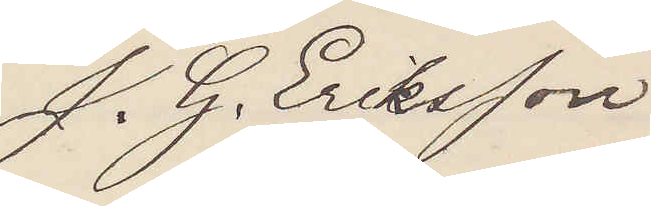J. G. Eriksson
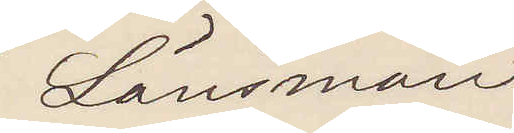Länsman
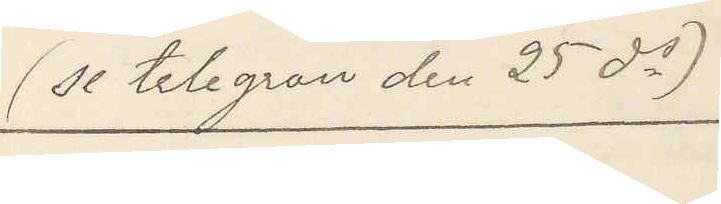(se telegram den 25 ds)
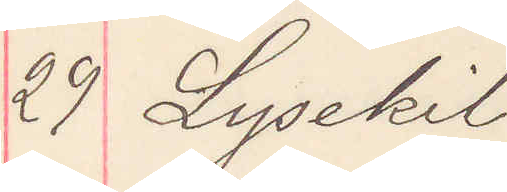29 Lysekil
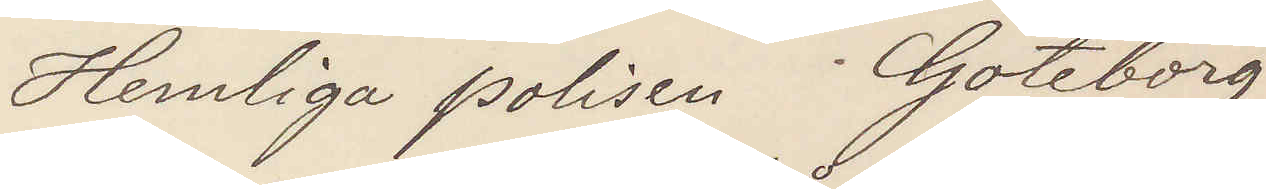Hemliga polisen Göteborg
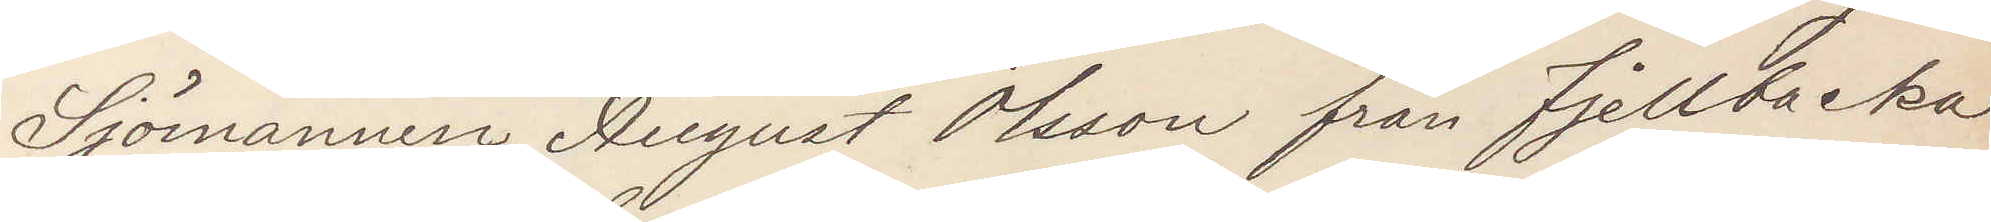Sjömannen August Olsson från Fjellbacka
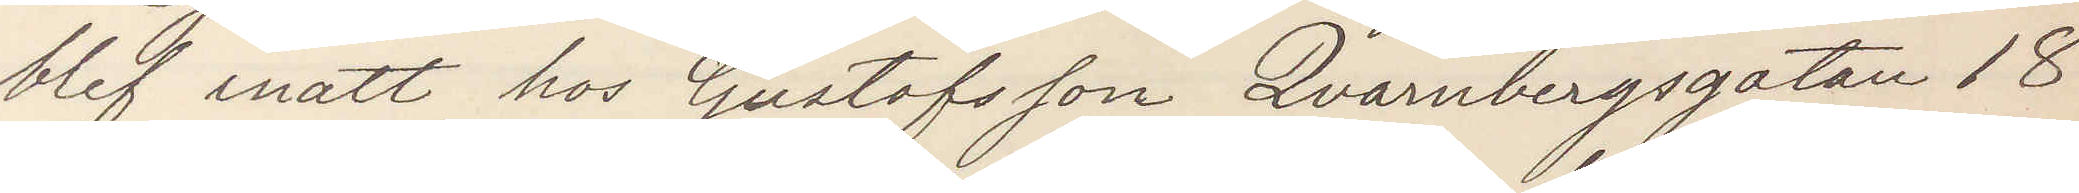blef inatt hos Gustafsson Qvarnbergsgatan 18
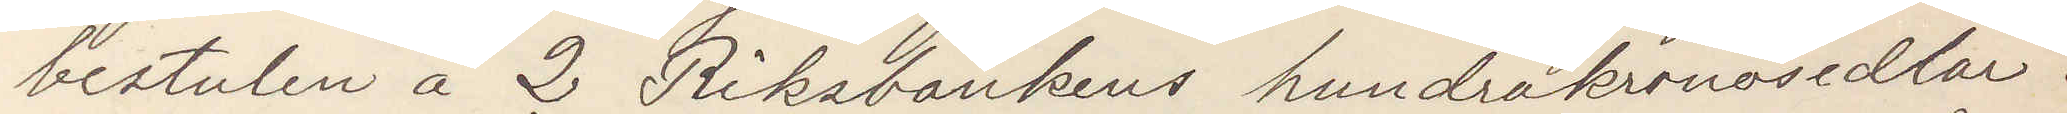bestulen å 2 Riksbankens hundrakronosedlar.
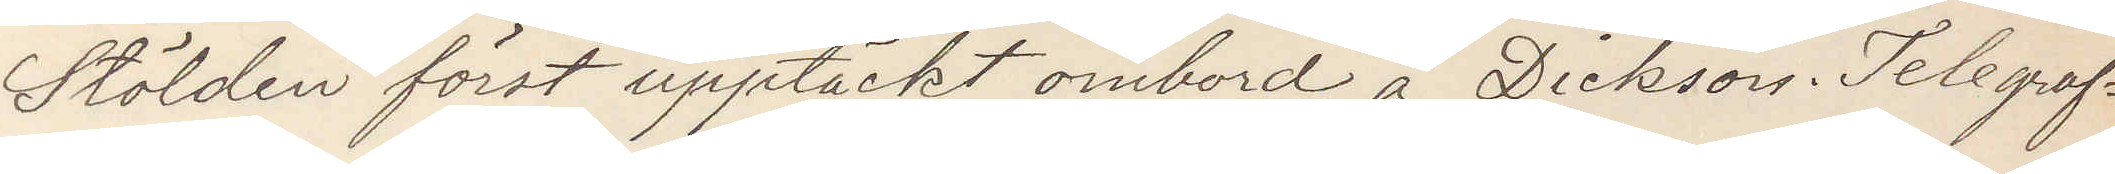Stölden först upptäckt ombord å Dickson. Telegraf¬
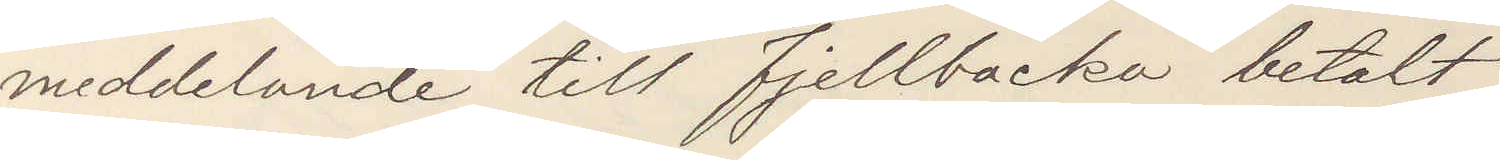meddelande till Fjellbacka betalt
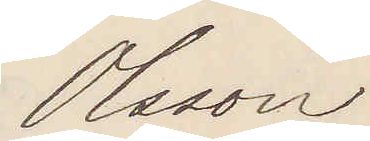Olsson
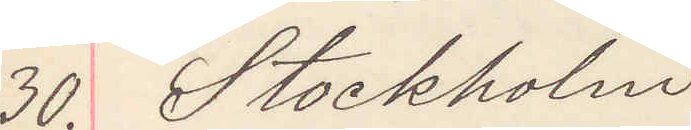30. Stockholm
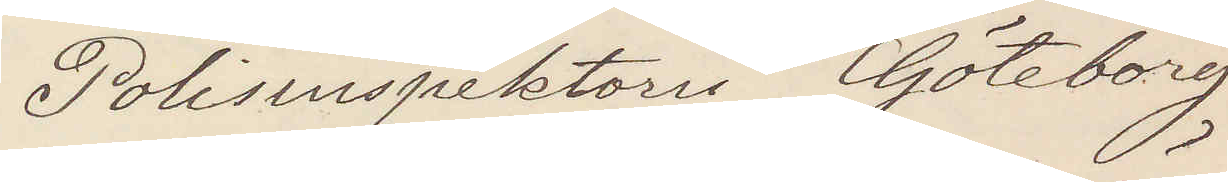Polisinspektorn Göteborg
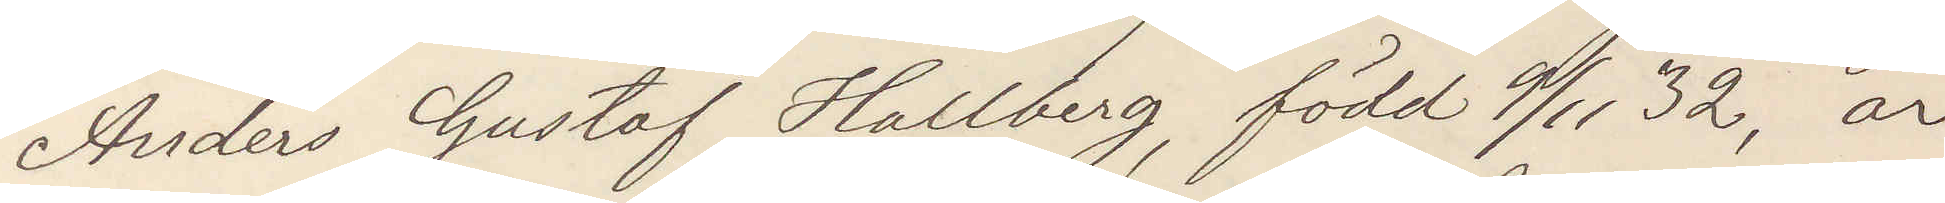Anders Gustaf Hallberg, född 9/11 32, är
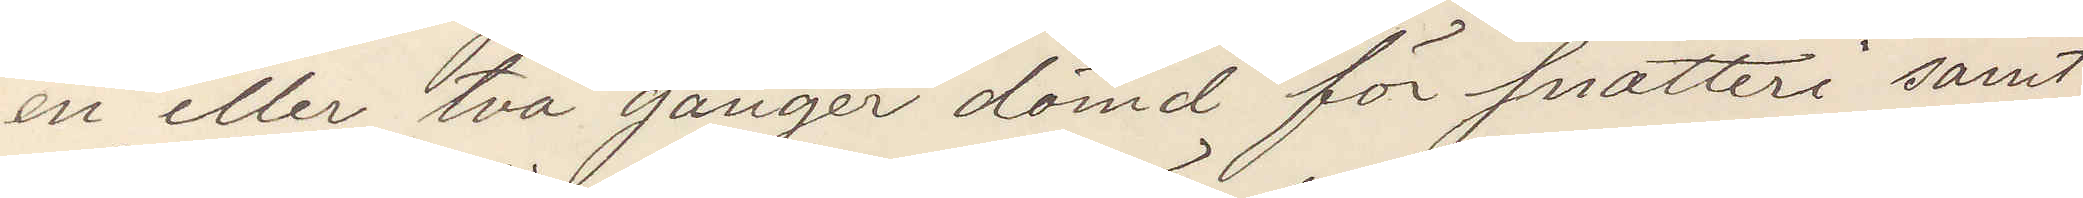en eller två gånger dömd för snatteri samt
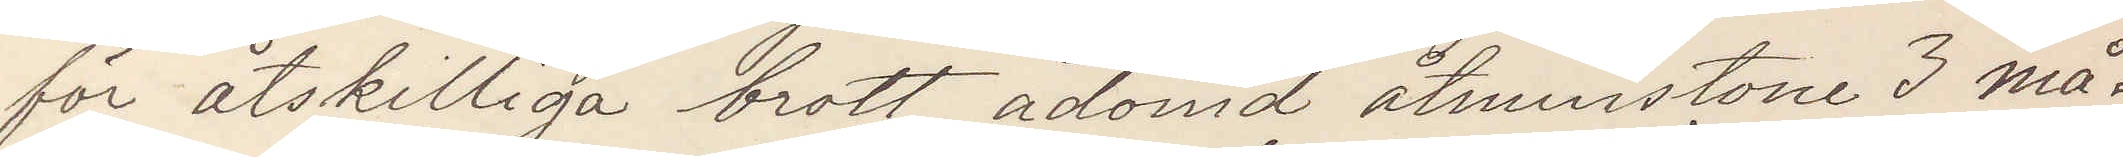för åtskilliga brott ådömd åtminstone 3 må¬
